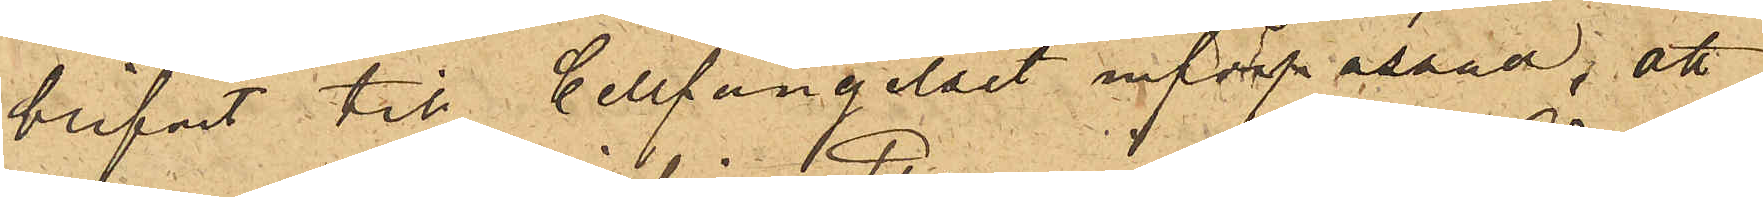blifvit till Cellfängelset införpassad, att
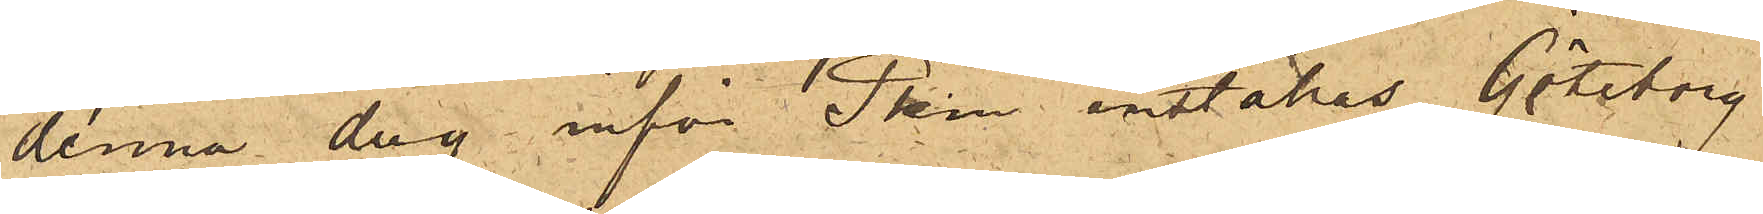denna dag inför Pkm inställas. Göteborg
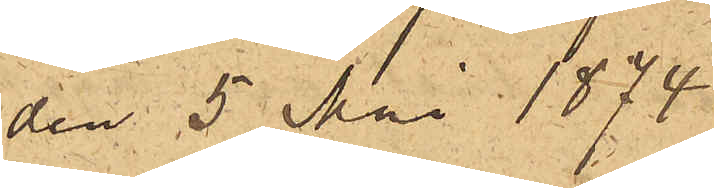den 5 Mai 1874.
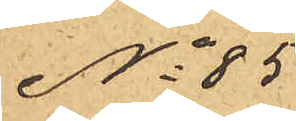No 85
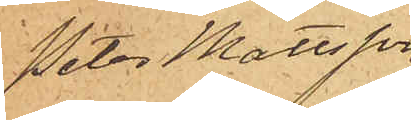Peter Mattsson
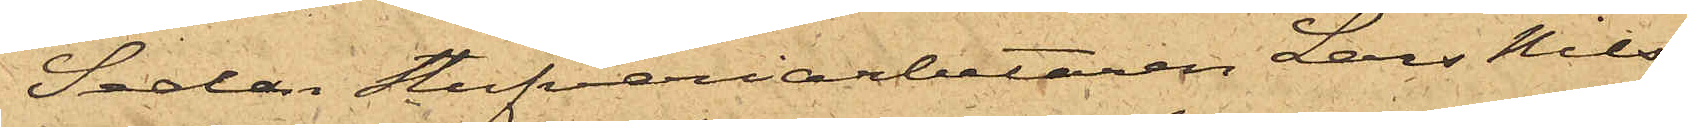Sedan Stufveriarbetaren Lars Nils¬
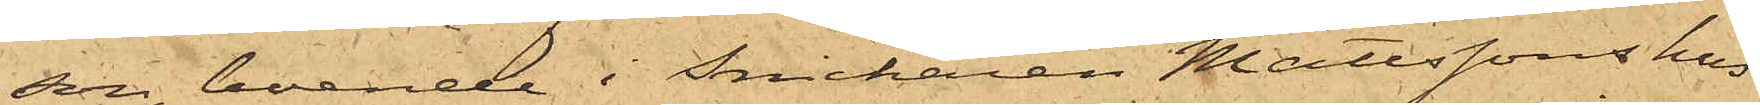son, boende i Snickaren Mattssons hus
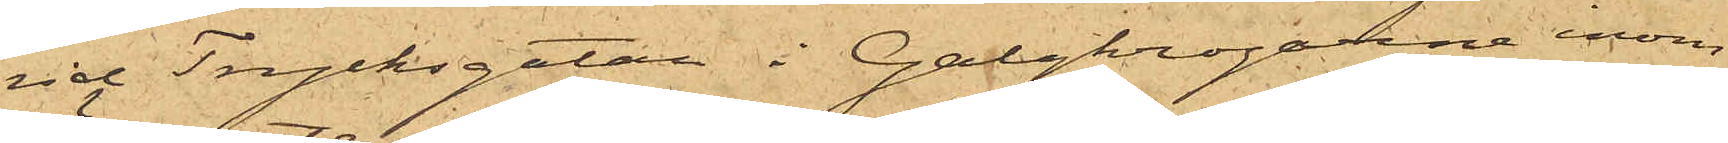vid Trycksgatan i Galgkrogarne inom
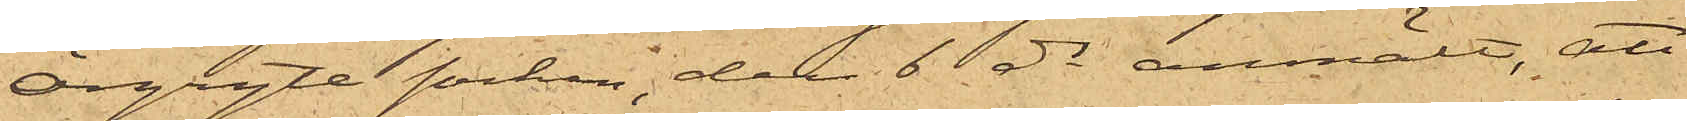Örgryte socken, den 6 ds anmält, att
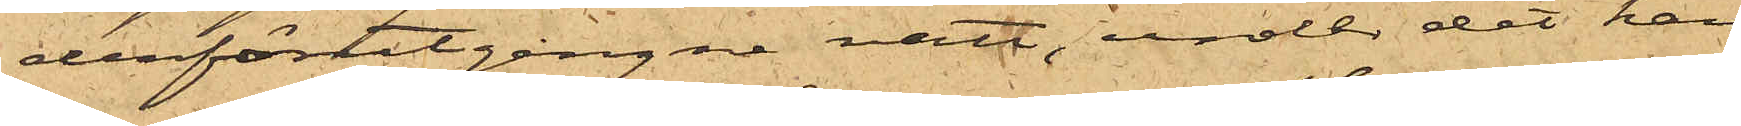derförutgångne natt, under det han
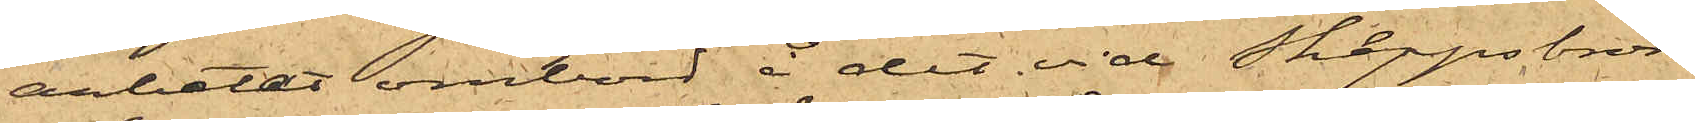arbetat ombord å det vid Skeppsbron
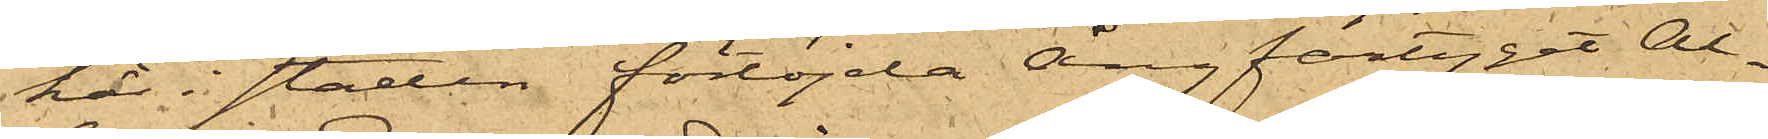här i staden förtöjda ångfartyget Al¬
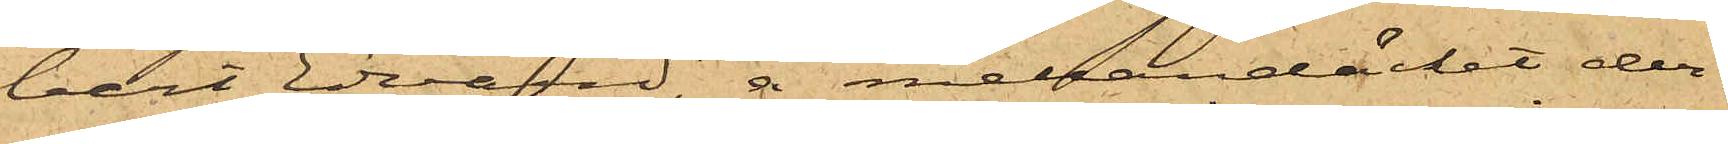bert Edward, å mellandäcket der¬
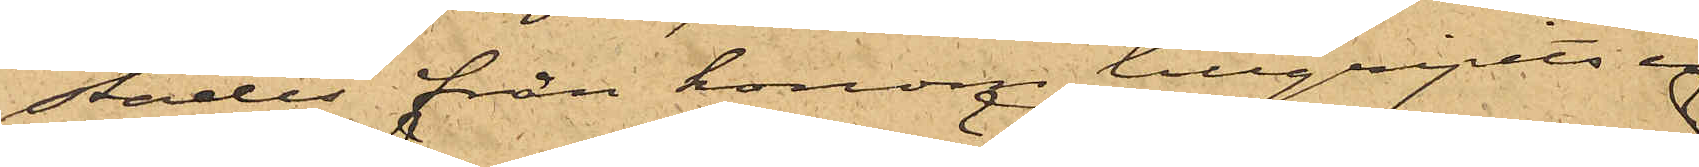städes från honom tillgripits en
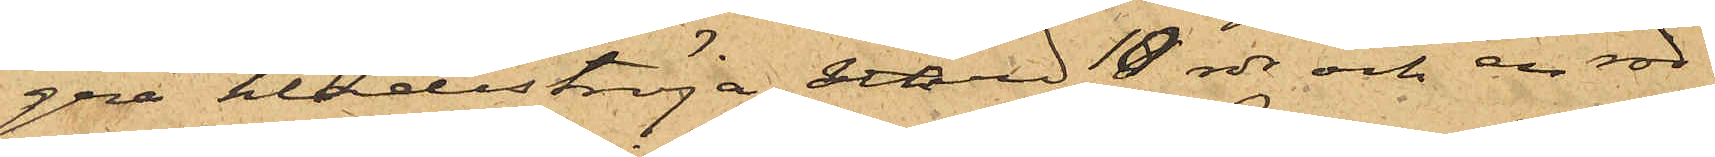grå klädeströja värd 10 rdr och en röd¬
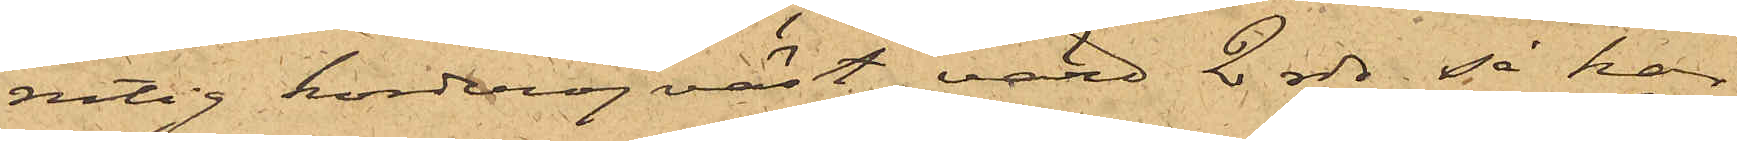rutig korderojväst, värd 2 rdr, så har
